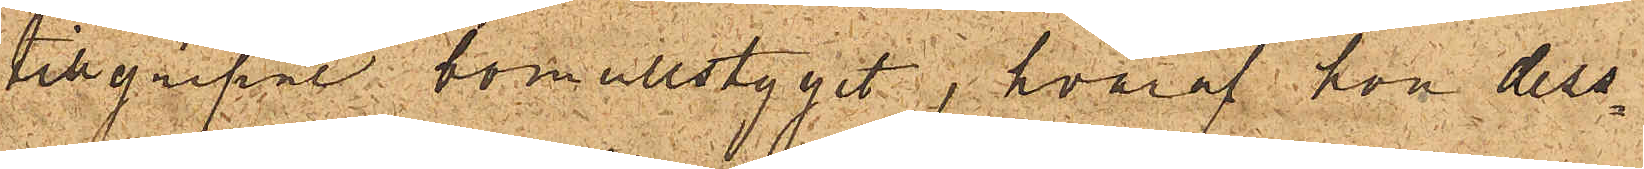tillgripne bomullstyget, hvaraf hon dess¬
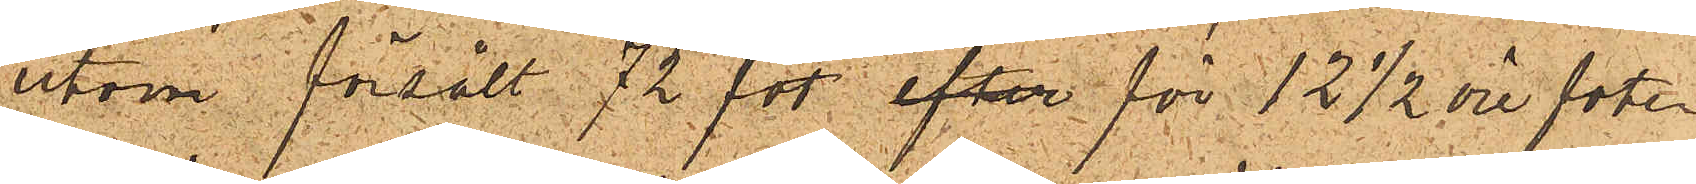utom försålt 72 fot efter för 12 ½ öre foten
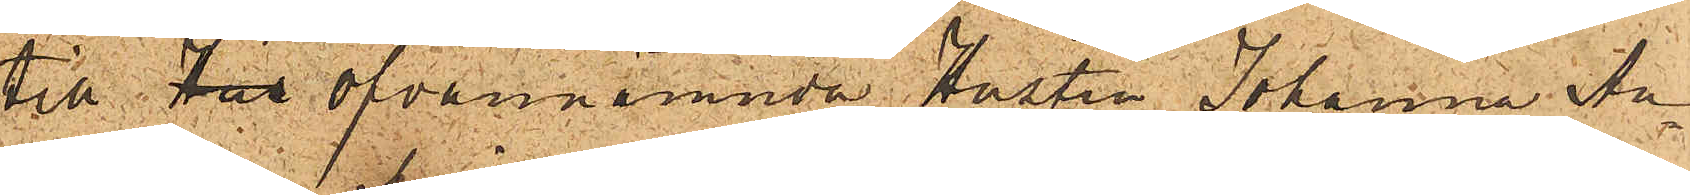till för ofvannämnda Hustru Johanna An¬
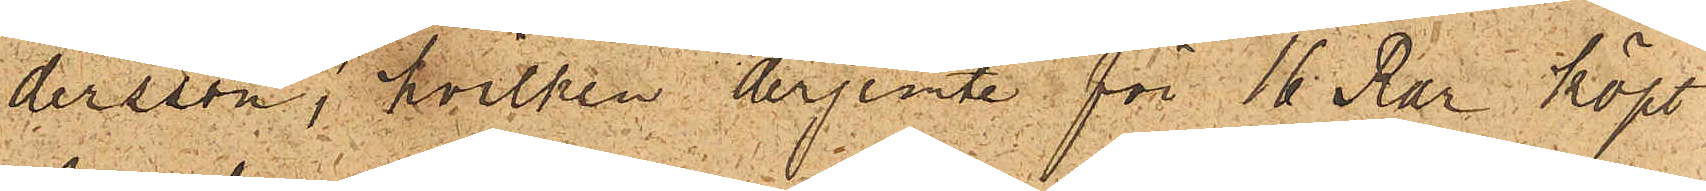dersson, hvilken derjemte för 16 Rdr köpt
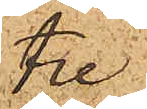tre
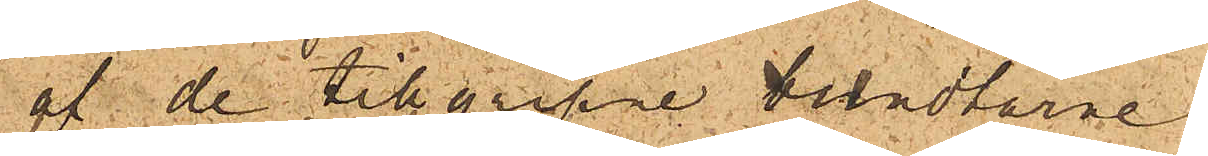af de tillgripne bundtarna
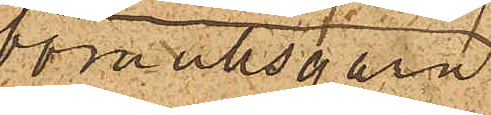bomullsgarn
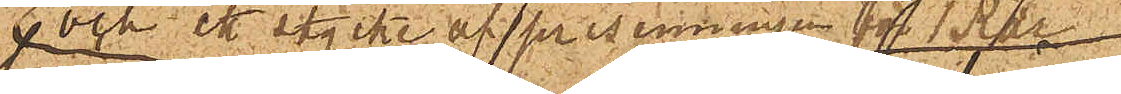och ett stycke af presenningen för 5 Rdr;
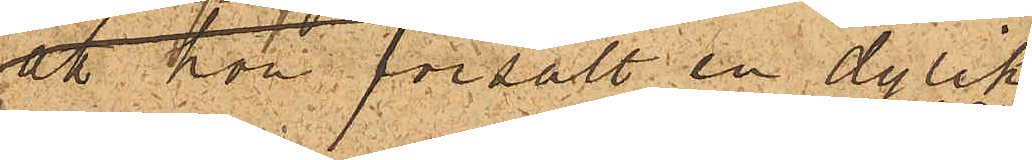att hon försålt en dylik
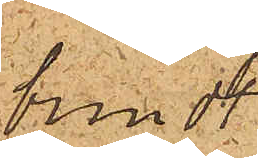bundt 
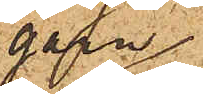garn
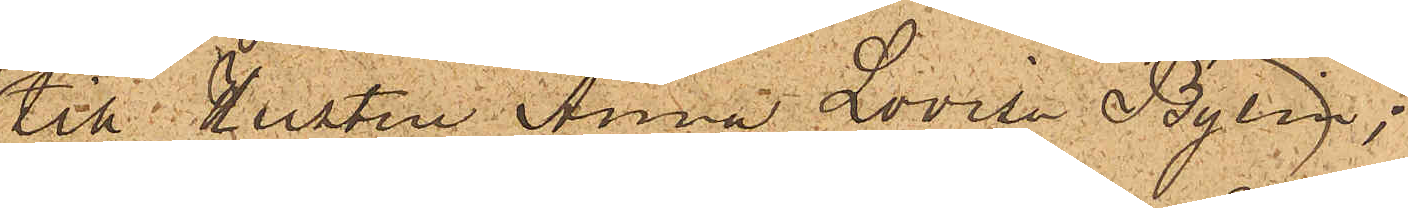till Hustru Anna Lovisa Bylin
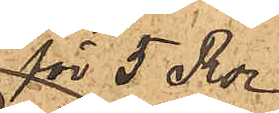för 5 Rdr;
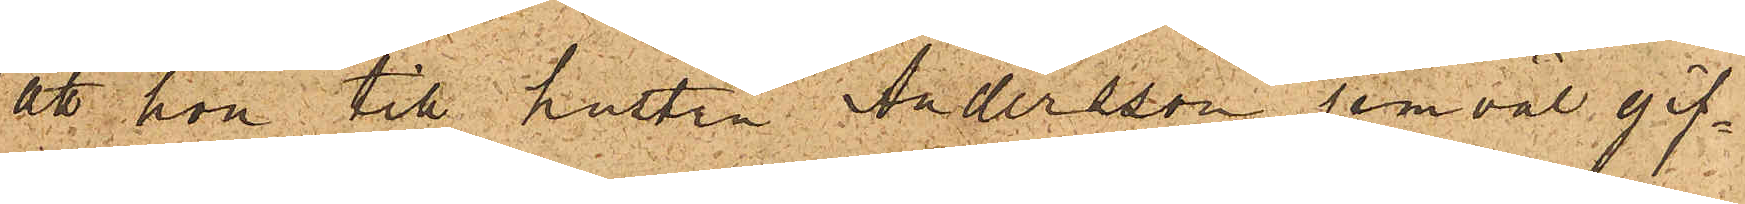att hon till hustru Andersson jemväl gif¬
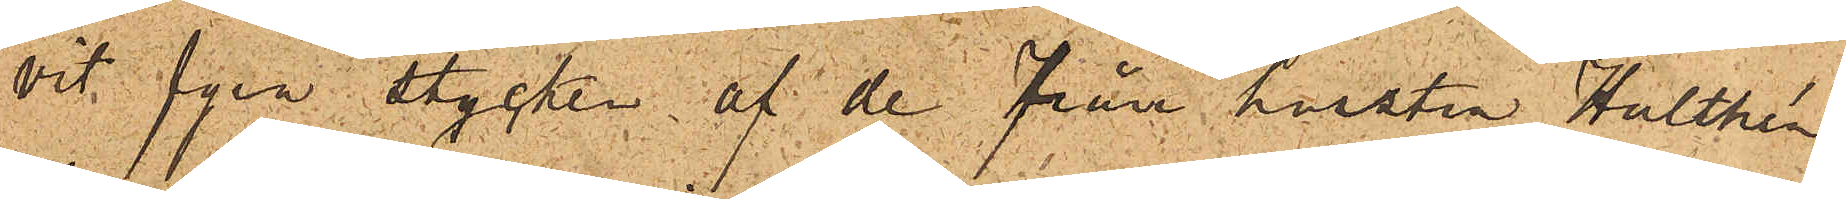vit fyra stycken af de från hustru Hulthén
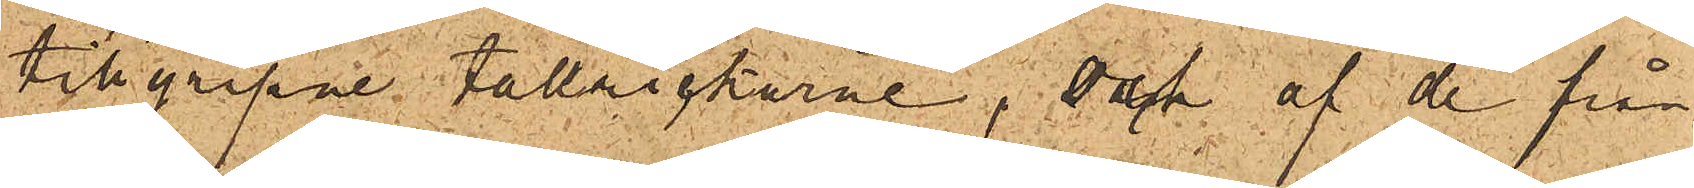tillgripne tallrickarne, af de från
